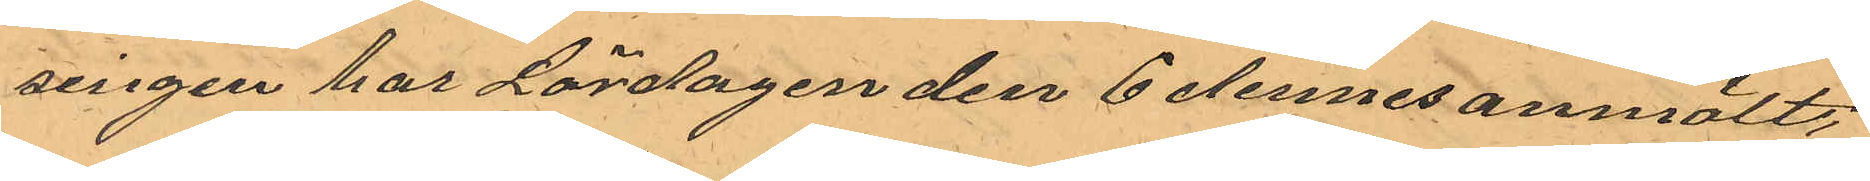singen har Lördagen den 6 dennes anmält,
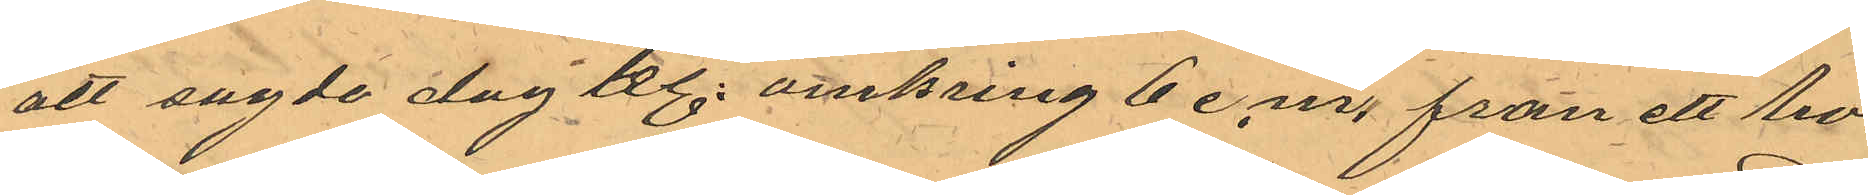att sagde dag kl. omkring 6 e.m. från ett ho¬
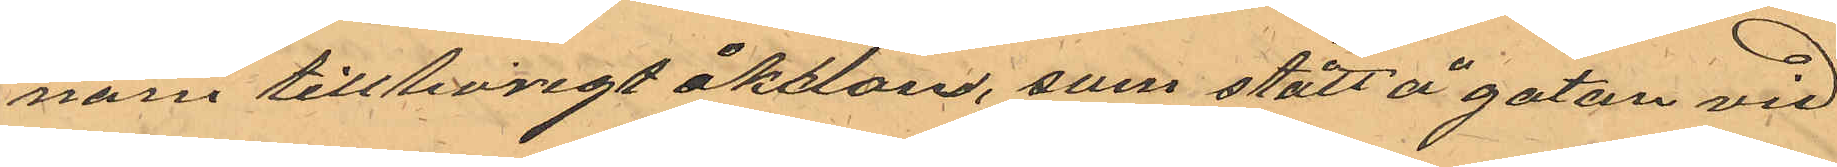nom tillhörigt åkdon, som stått å gatan vid
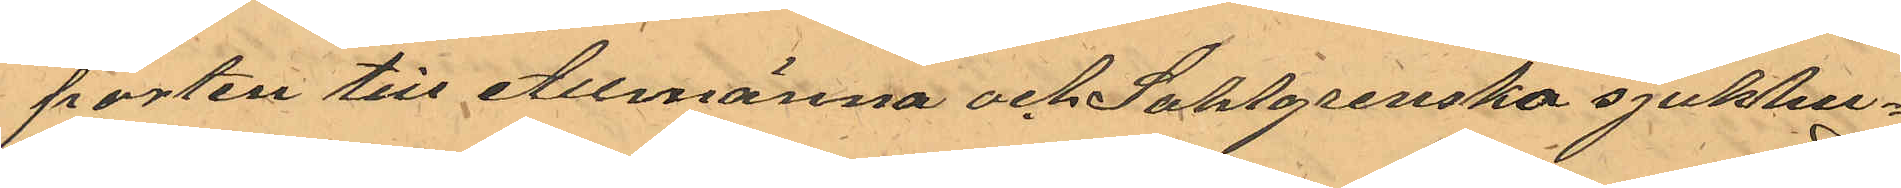porten till Allmänna och Sahlgrenska sjukhu¬
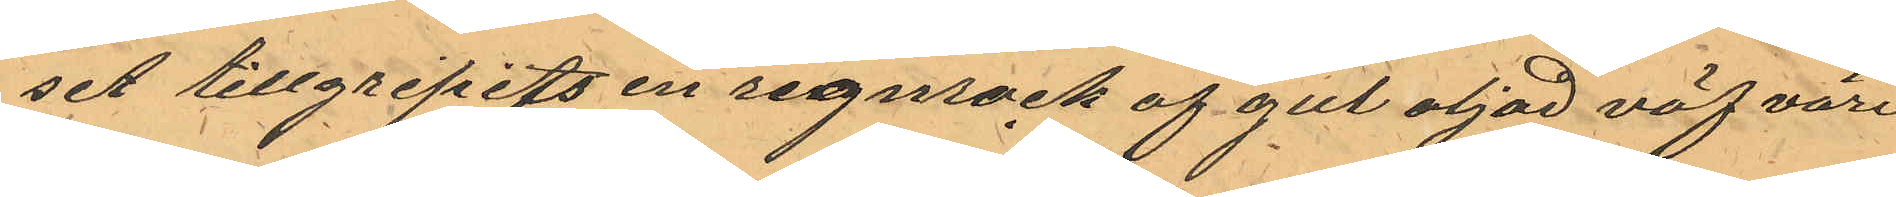set tillgripits en regnrock af gul oljad väf värd
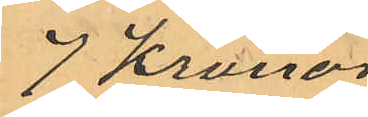7 Kronor
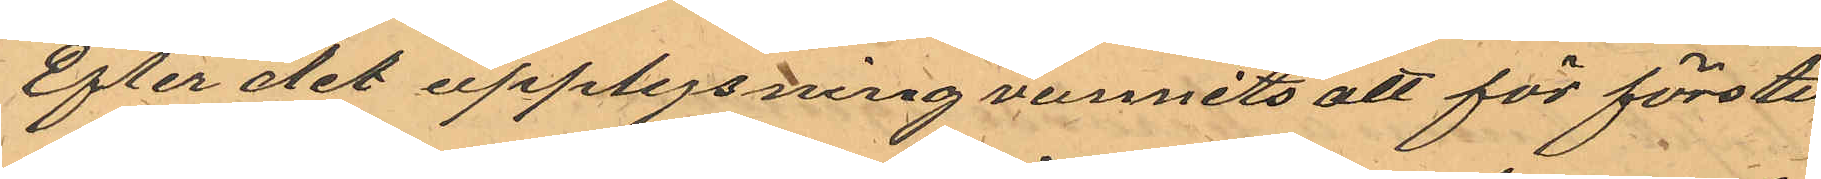Efter det upplysning vunnits att för första
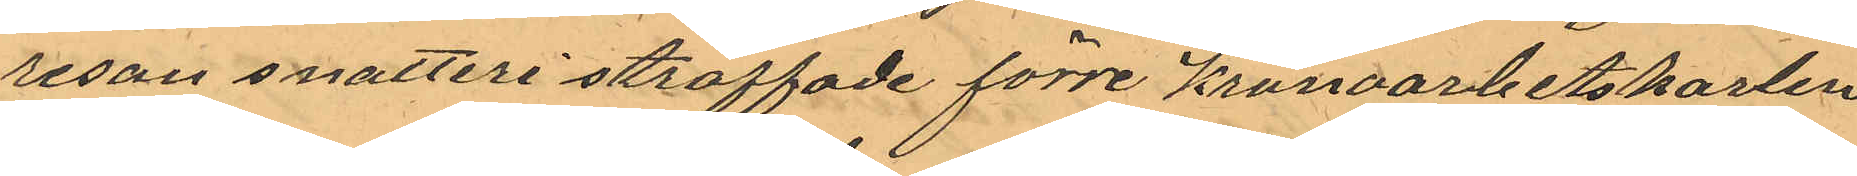resan snatteri straffade förre Kronoarbetskarlen
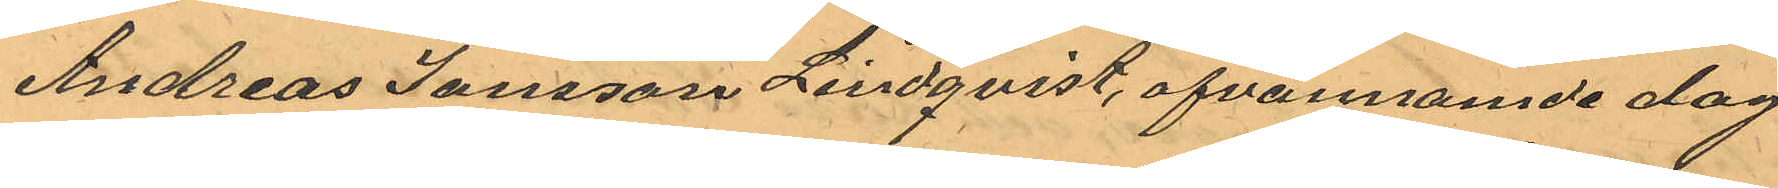Andreas Jansson Lindqvist, ofvannämde dag
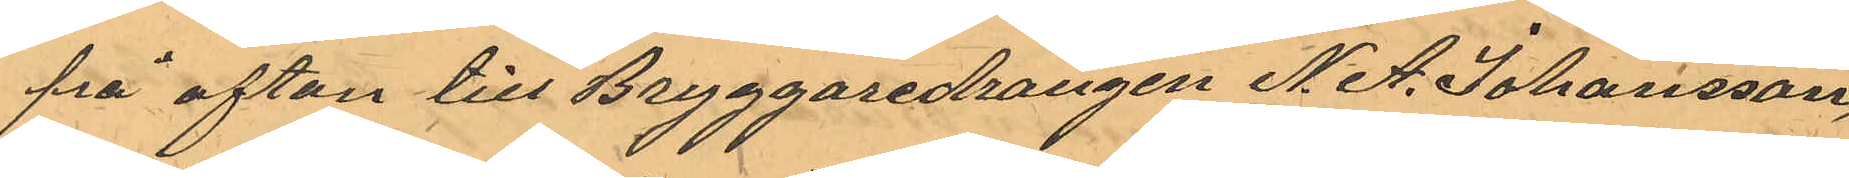på afton till Bryggaredrängen N. A. Johansson,
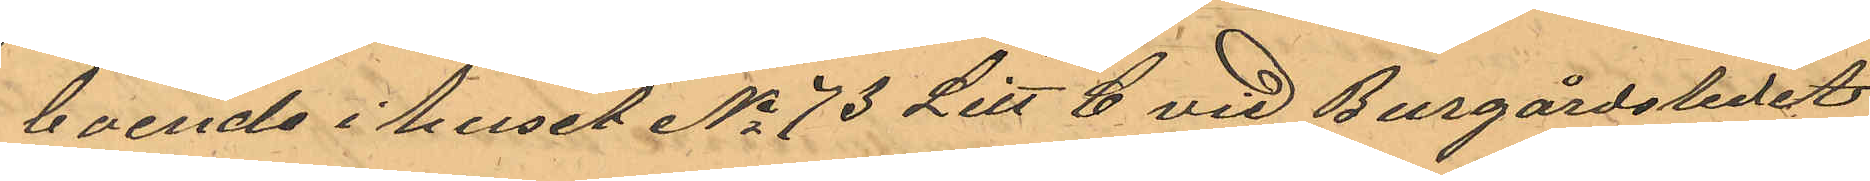boende i huset No 73 Litt C vid Burgårdssledet
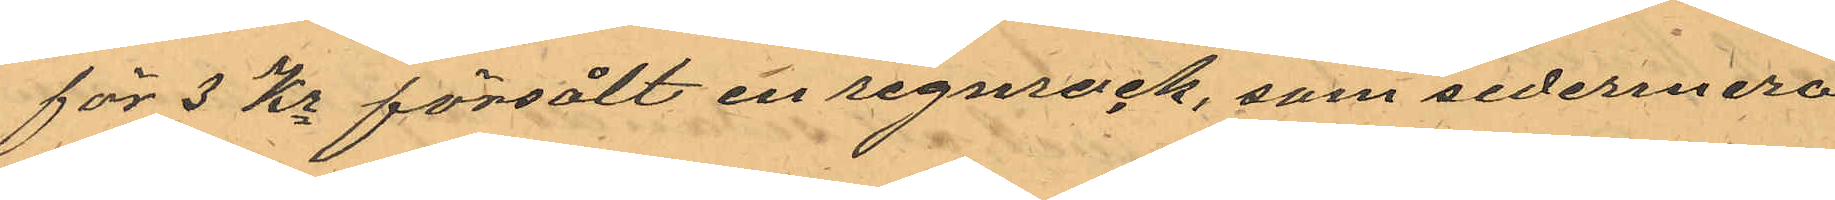för 3 Kr försålt en regnrock, som sedermera
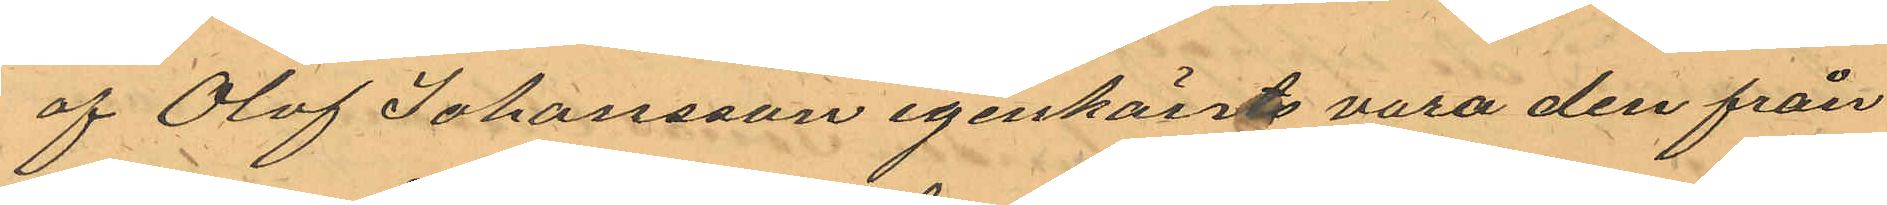af Olof Johansson igenkänts vara den från
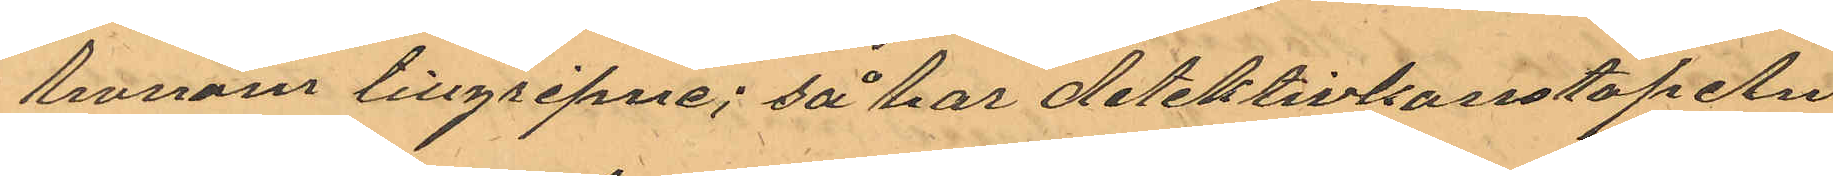honom tillgripne; så har detektivkonstapeln
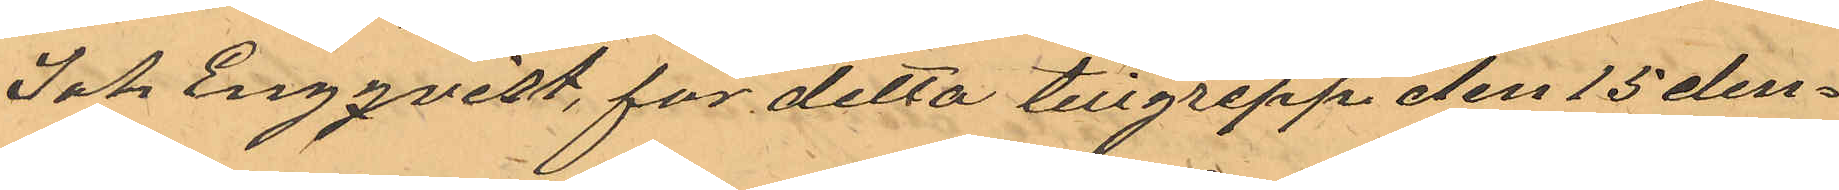Joh Engqvist, för detta tillgrepp den 15 den¬
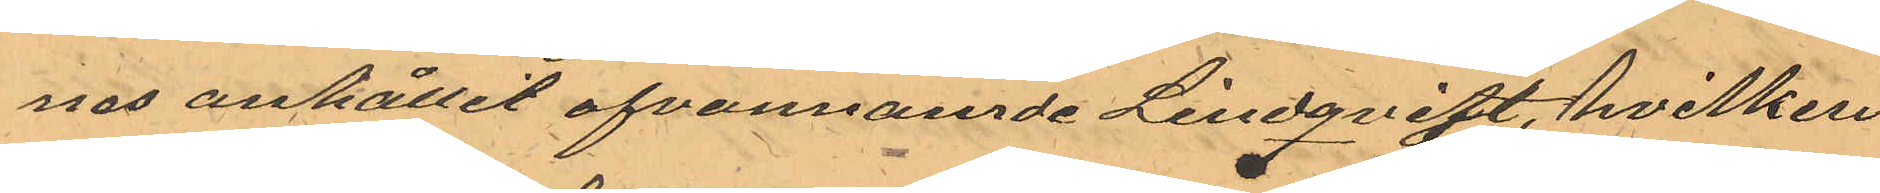nes anhållit ofvannämde Lindqvist, hvilken
